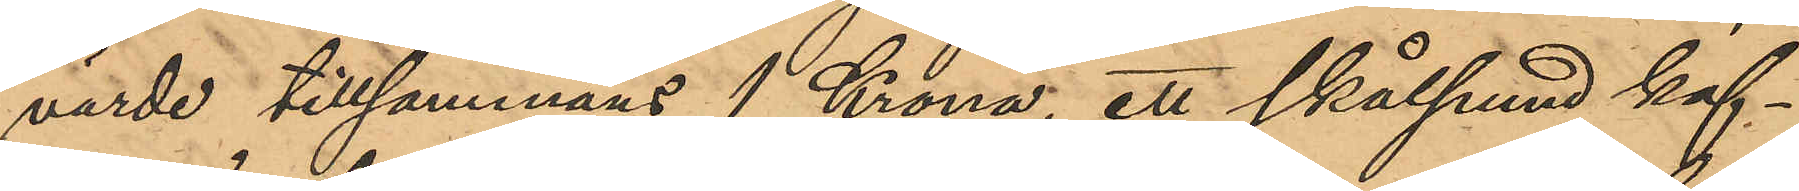värde tillsammans 1 Krona, ett skålpund kaf¬
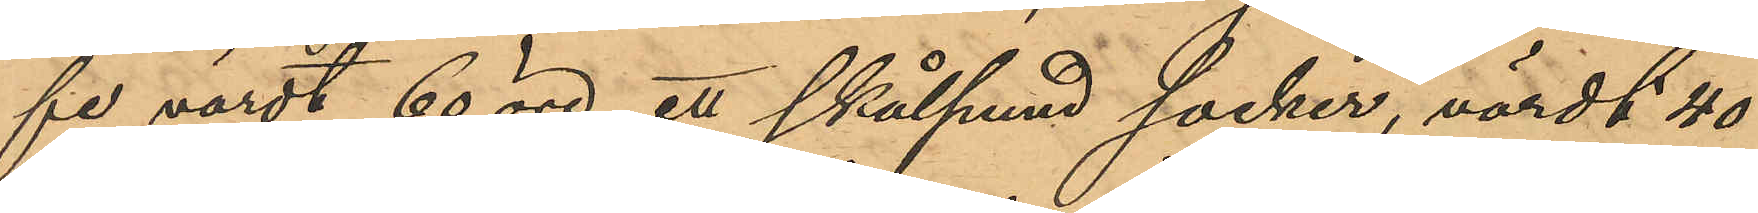fe värdt 60 öre, ett skålpund socker, värdt 40
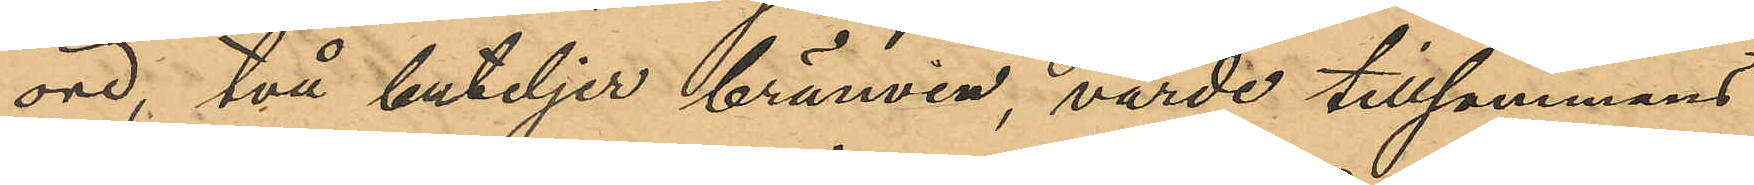öre, två buteljer brännvin, värde tillsammans
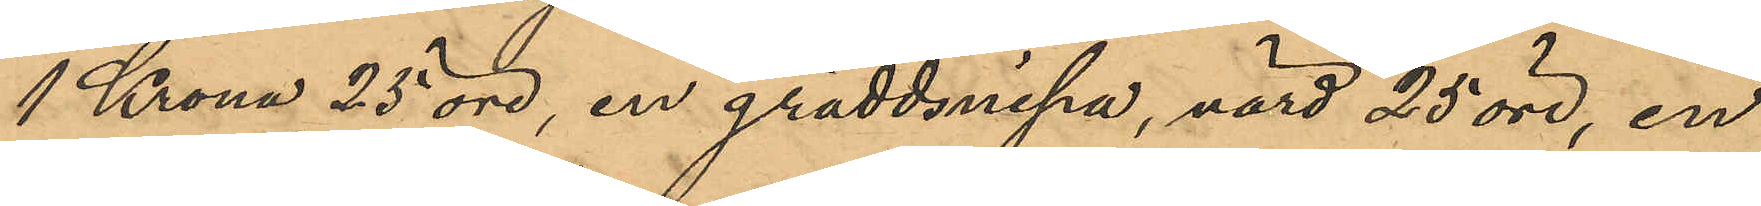1 Krona 25 öre, en gräddsnipa, värd 25 öre, en
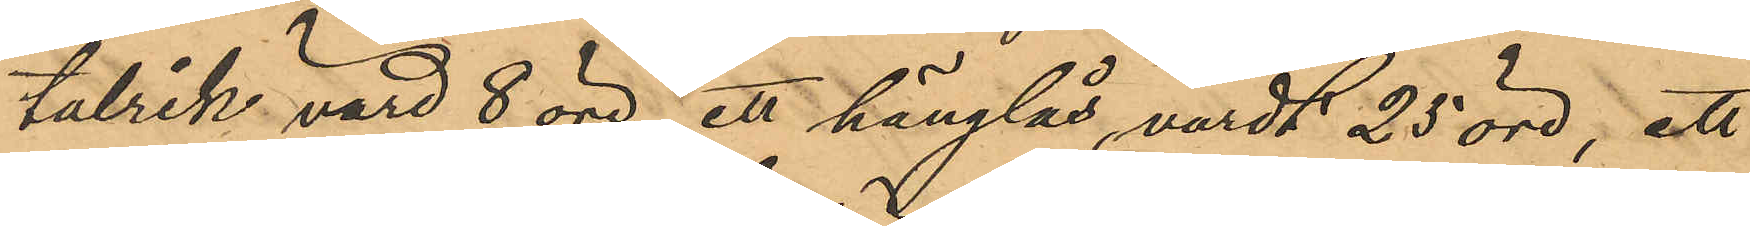talrik, värd 8 öre, ett hänglås, värdt 25 öre, ett
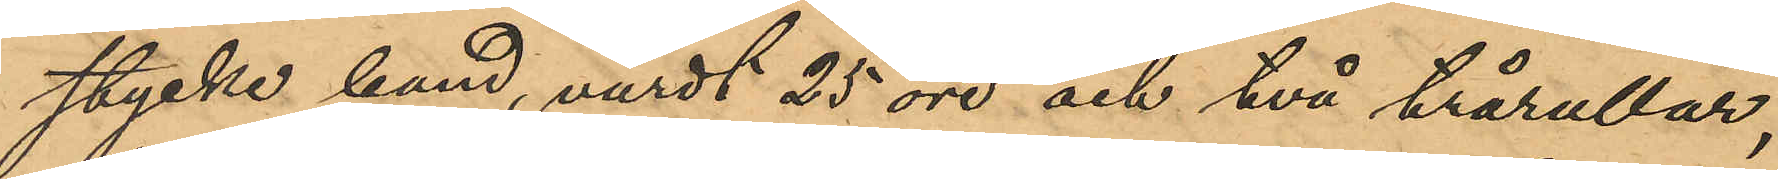stycke band, värdt 25 öre och två trårullar,
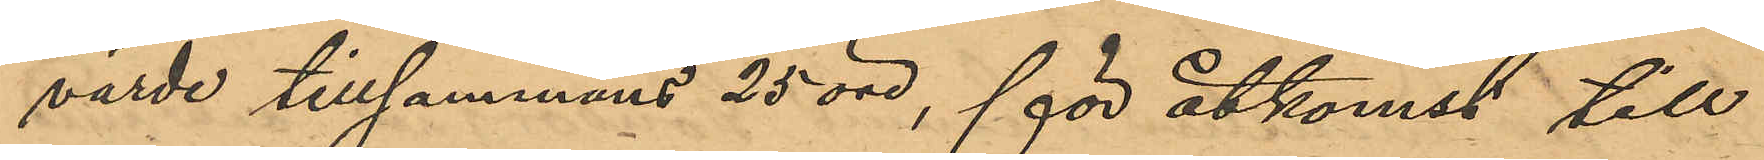värde tillsammans 25 öre, för åtkomst till
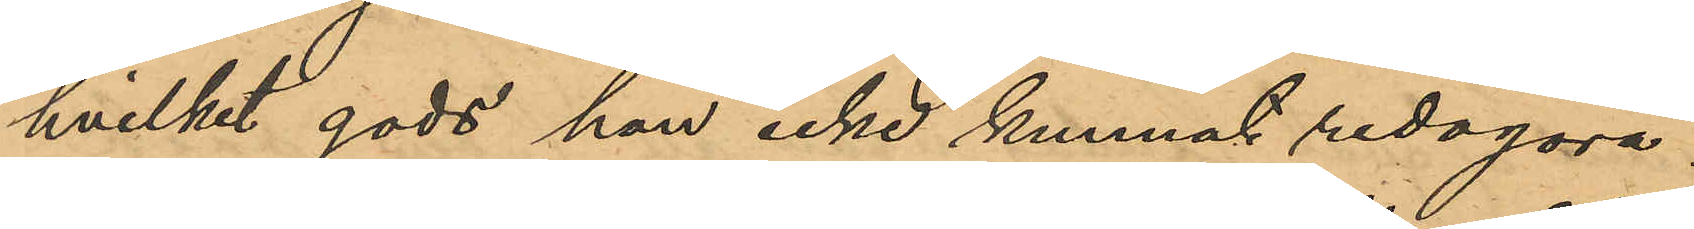hvilket gods hon icke kunnat redogöra.
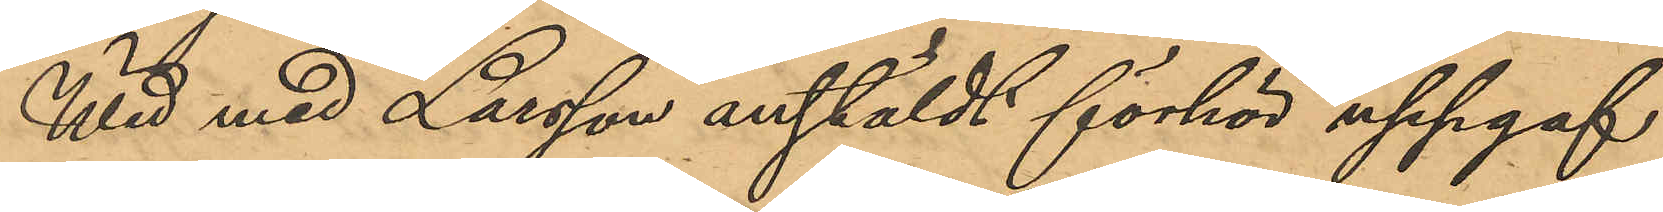Wid med Larsson anstäldt förhör uppgaf
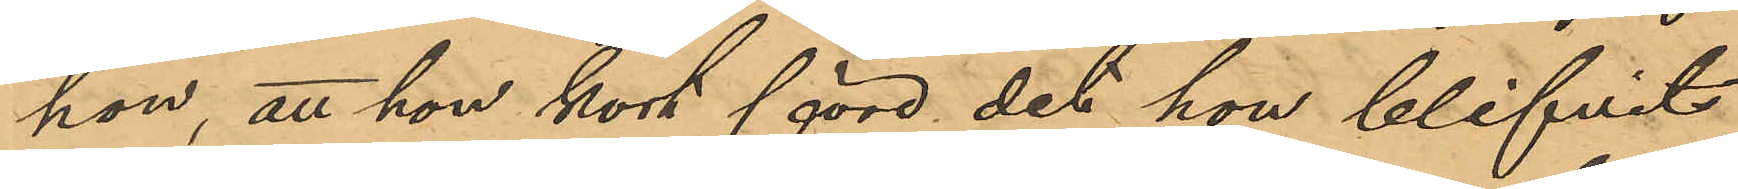hon, att hon kort före det hon blifvit
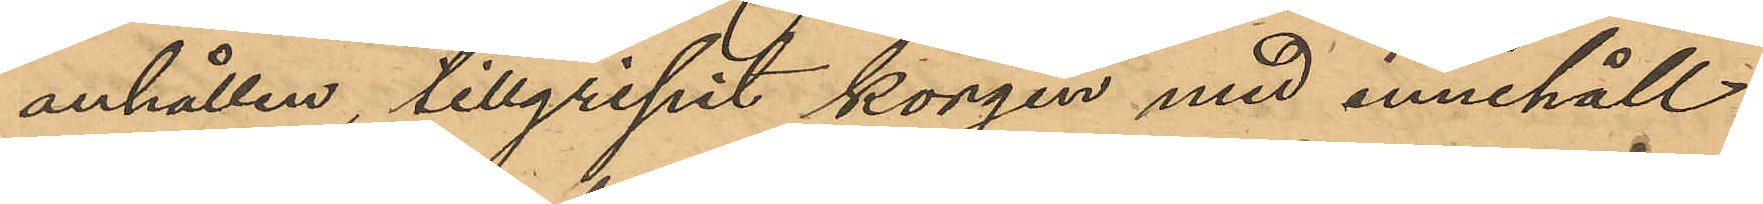anhållen, tillgripit korgen med innehåll
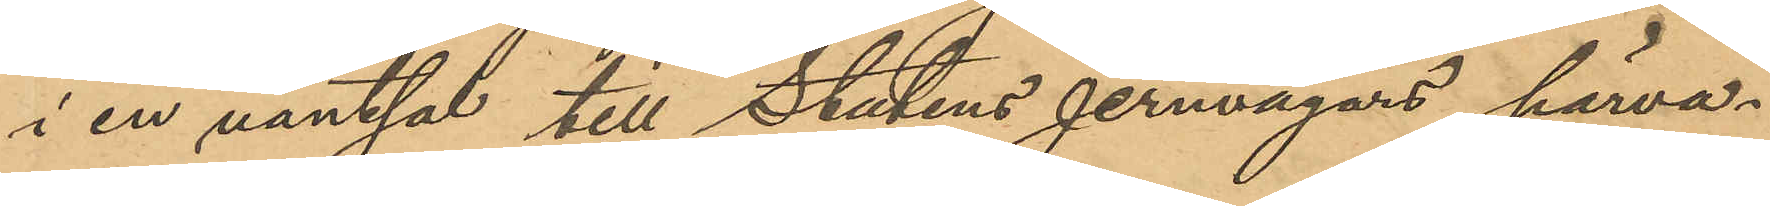i en väntsal till Statens jernvägars härva¬
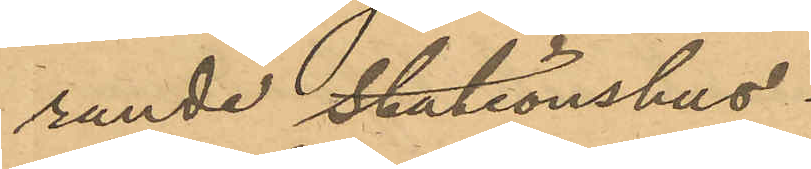rande Stationshus.
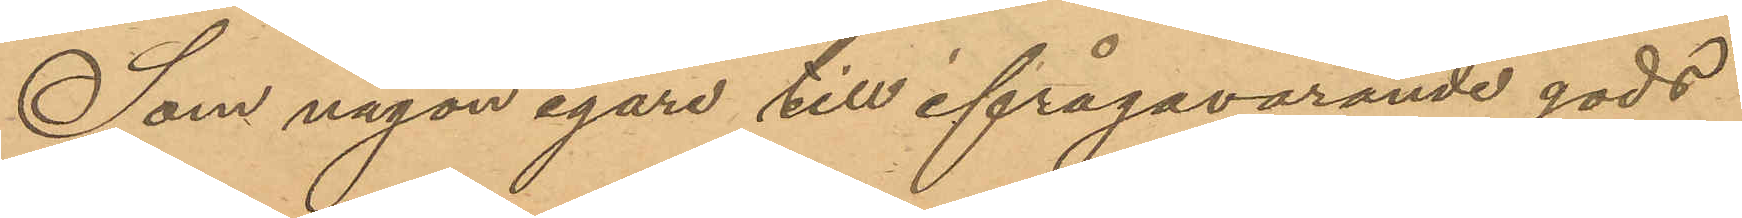Som någon egare till ifrågavarande gods
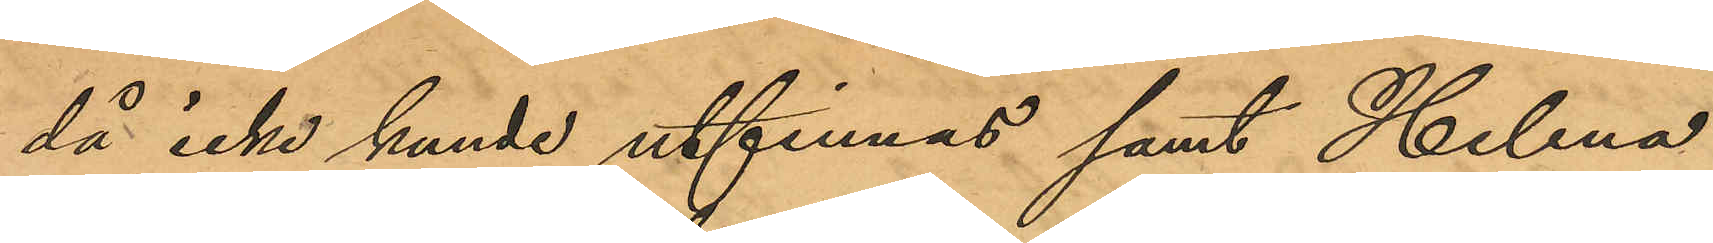då icke kunde utfinnas samt Helena
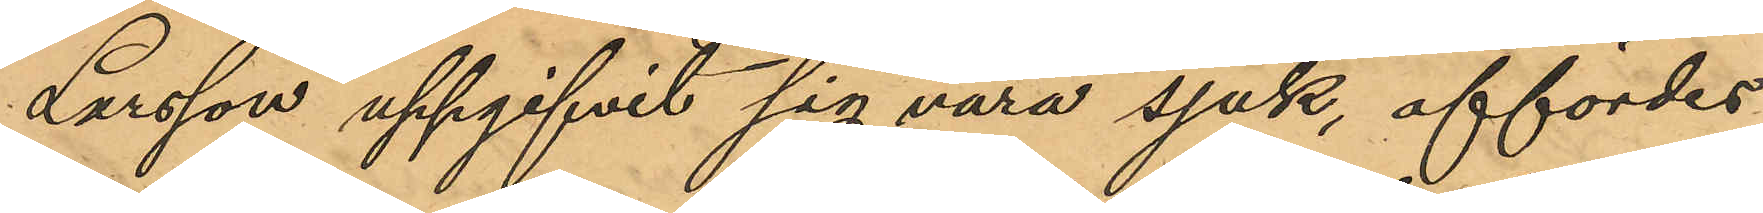Larsson uppgifvit sig vara sjuk, affördes
